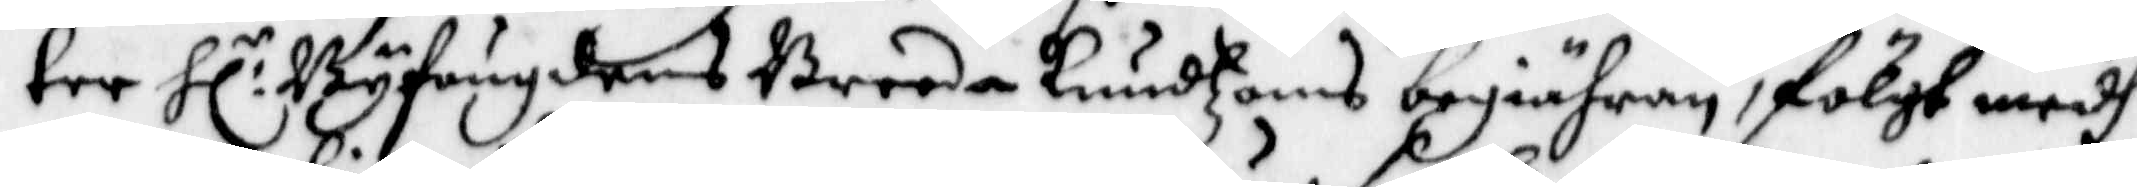ter Hl:r Byfoudens Breda Knudzons begiähran, fölgt medh
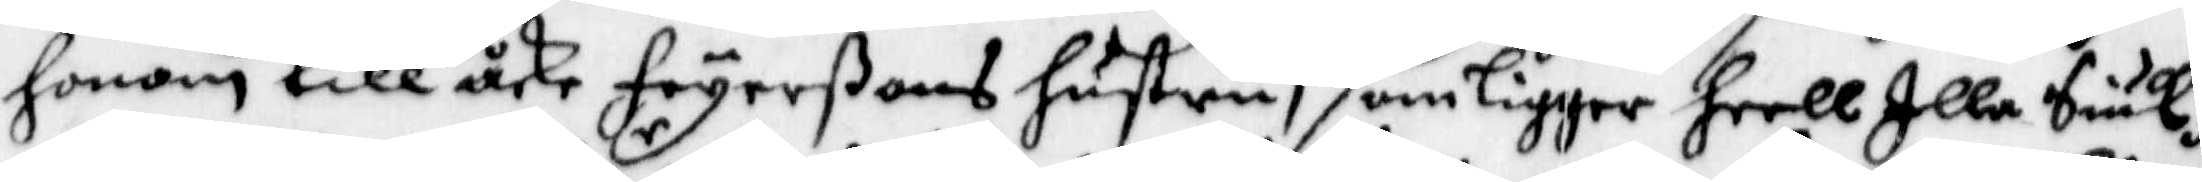honom till Åke Fryerßons Hustru, som ligger heell Illa Siuk;
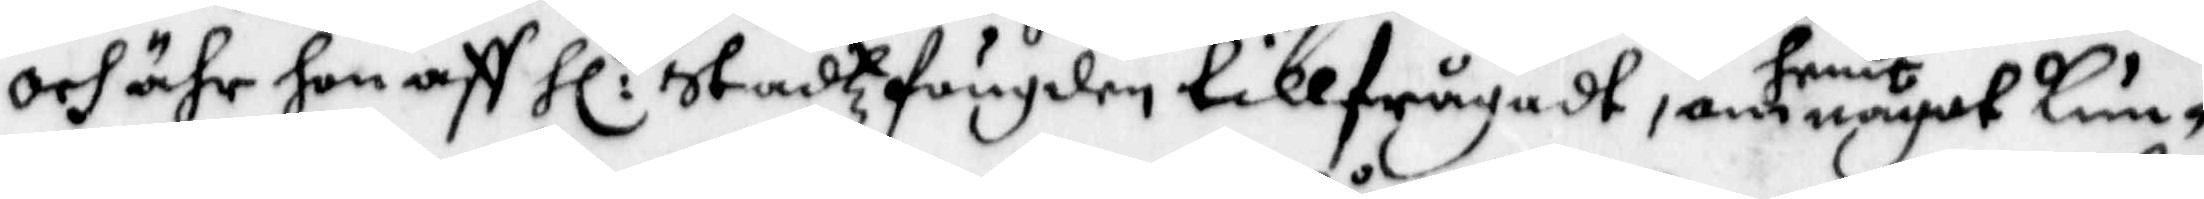och ähr hon aff Hl:r Stadzfougden tillfrågadt, om henne något kun¬
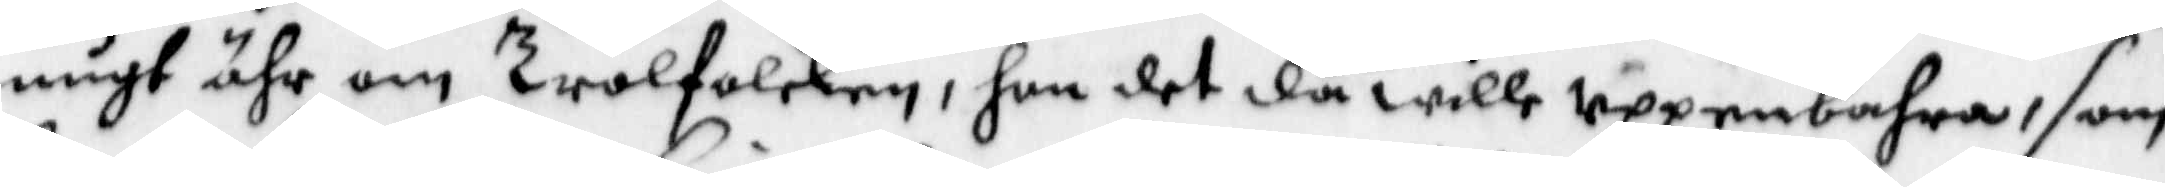nugt ähr om TrolFolcken, hon det då wille uppenbara, som
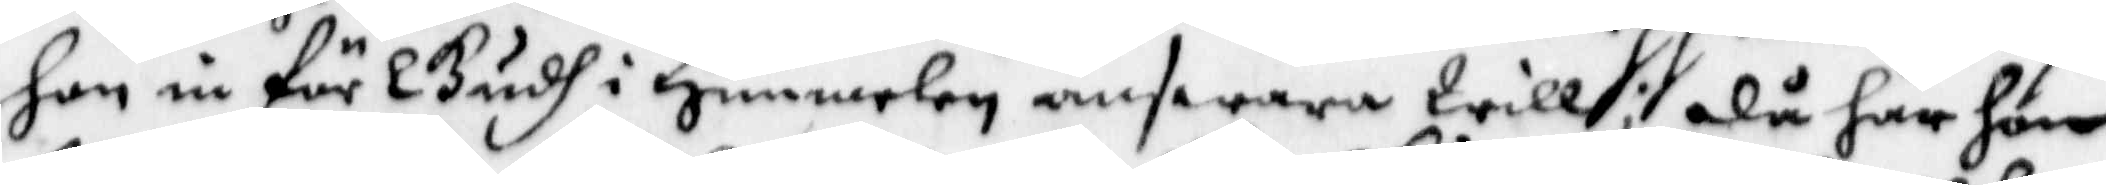hon in för Gudh i Himmelen answara Wille; då hat hon
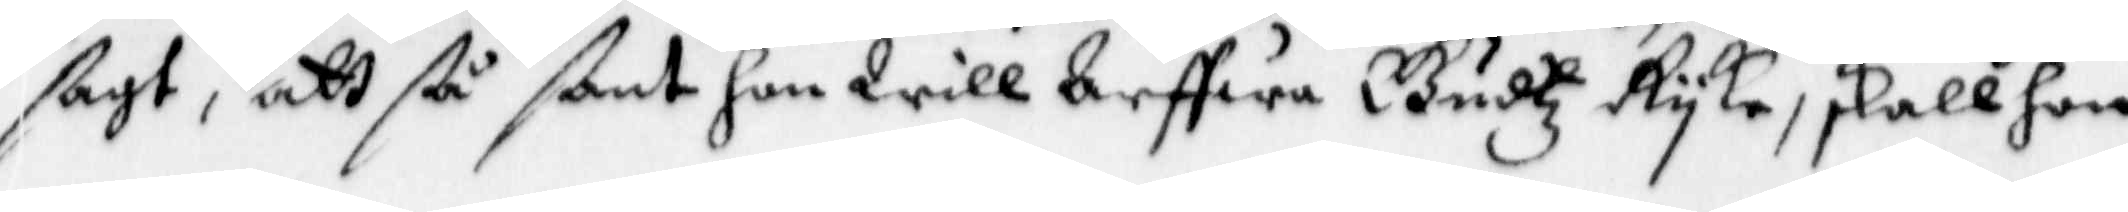sagt, att ßå ßant hon Will Arffwa Gudtz Ryke, skall hon
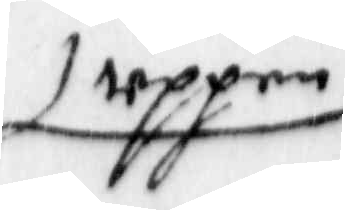uppen
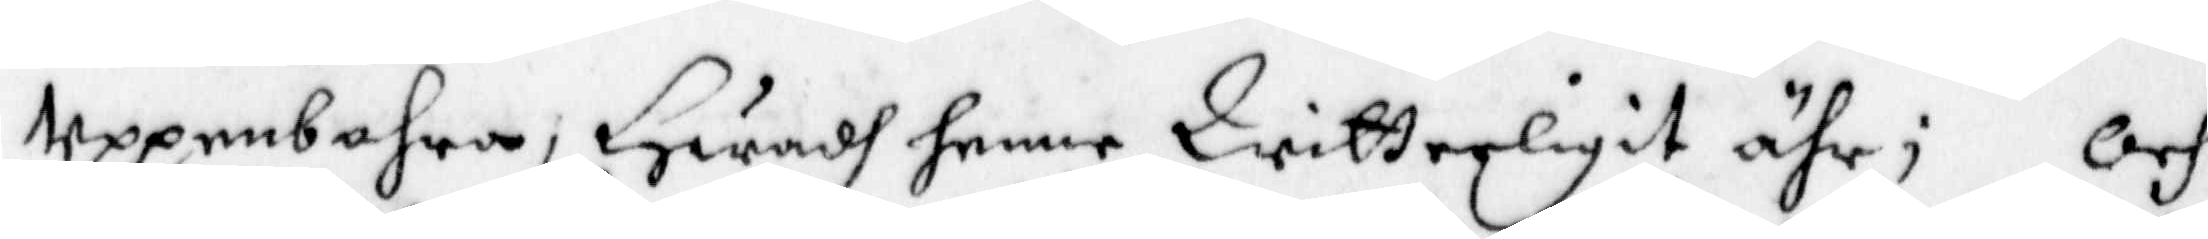Uppenbahra; Hwadh henne Witterligit ähr; Och
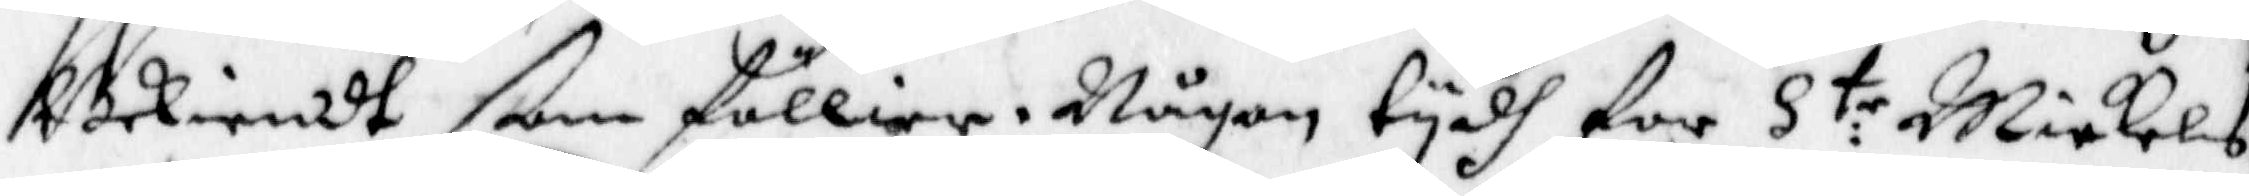Bekiendt som Föllier. Någon tydh for S:te Mickels
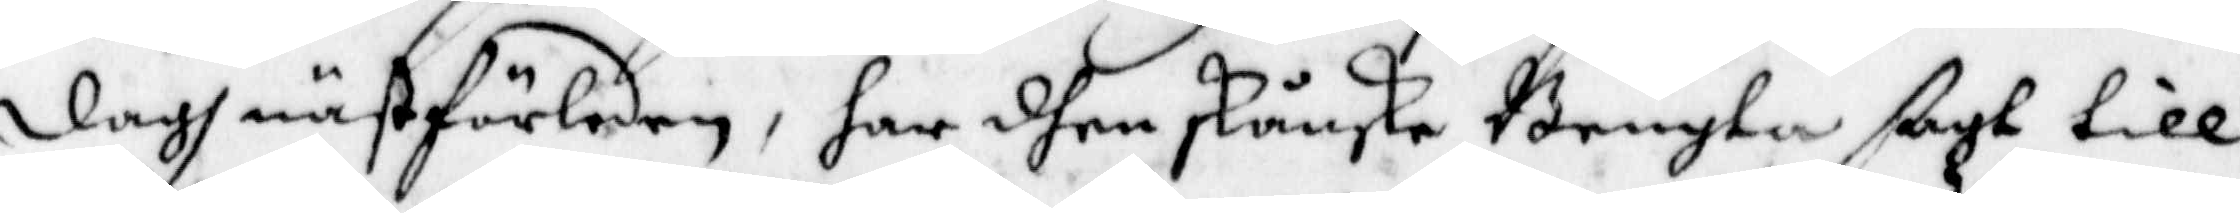dagh nästFörledne, har dhen skånske Bengta sagt till
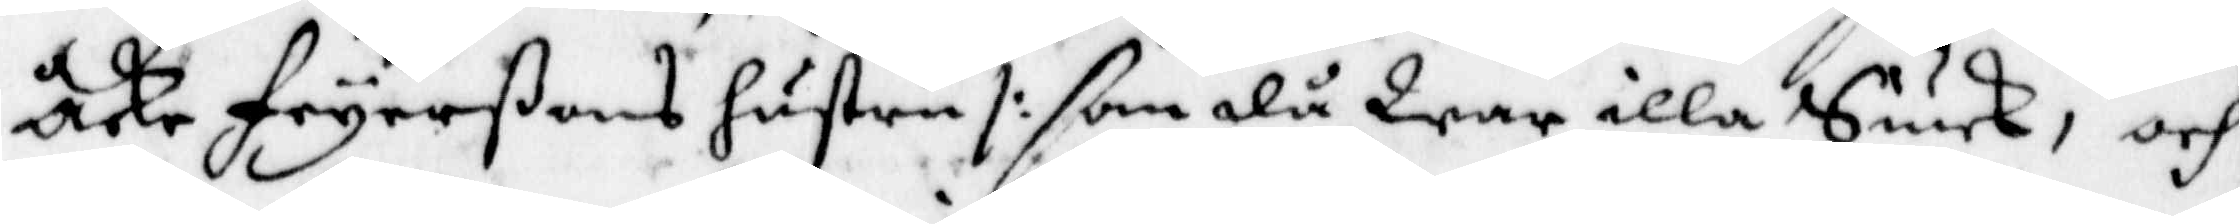Åke Fryerßons hustru /: som då War illa Siuk, och
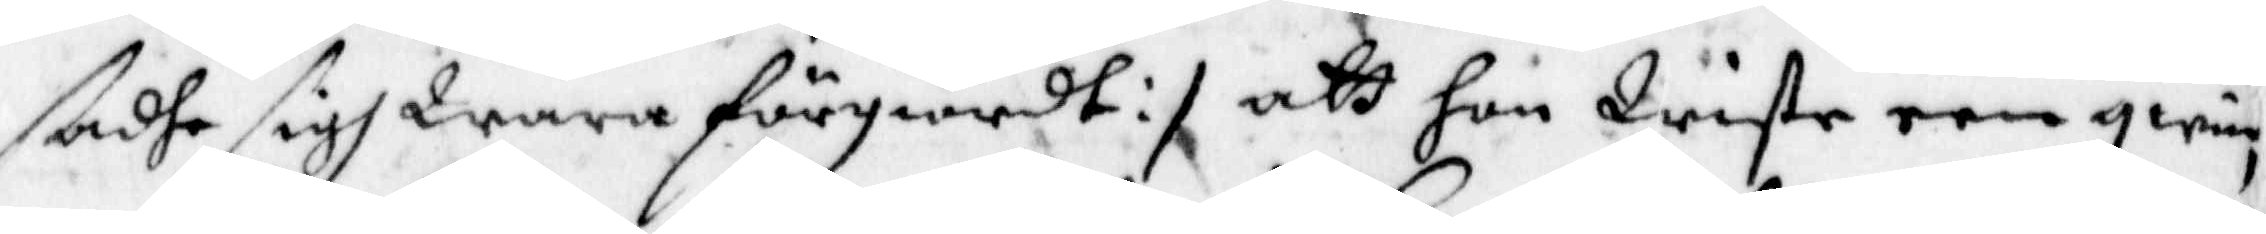sadhe sigh Wara Förgiordt :/ att hon Wiste een qwi¬
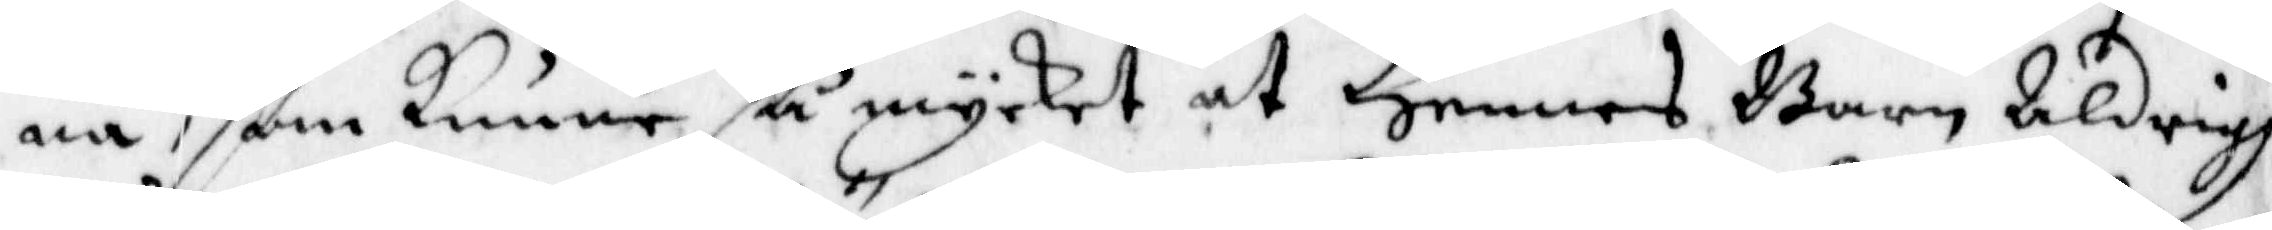na som kunne så mycket at Hennes Barn Aldrig
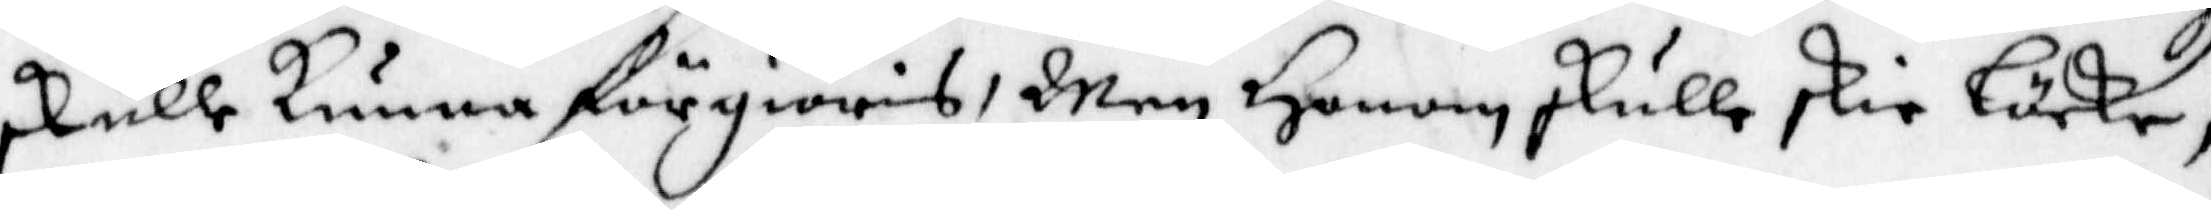skulle kunna Förgiöras, Men Honom skulle skie Löcke,
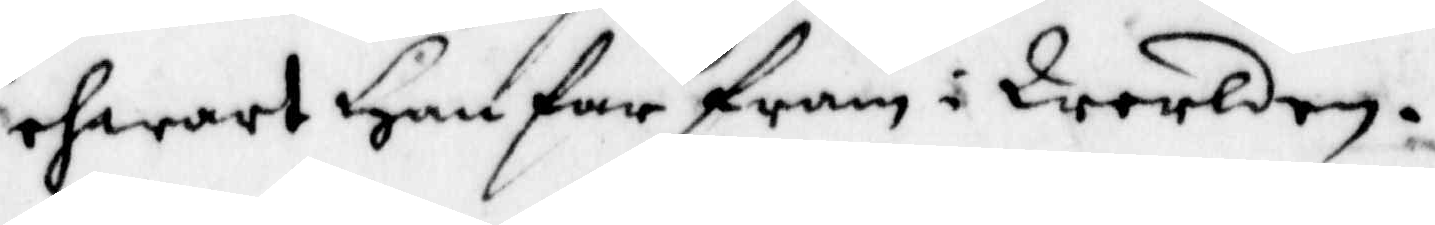ehwart Han far fram i Werlden.
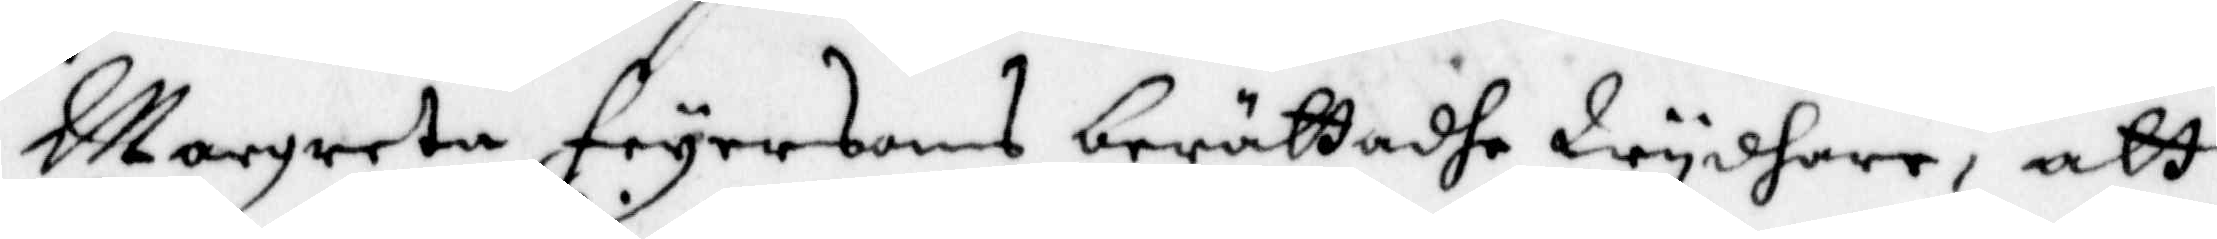Margreta Fryersons berättadhe Wydare, att
